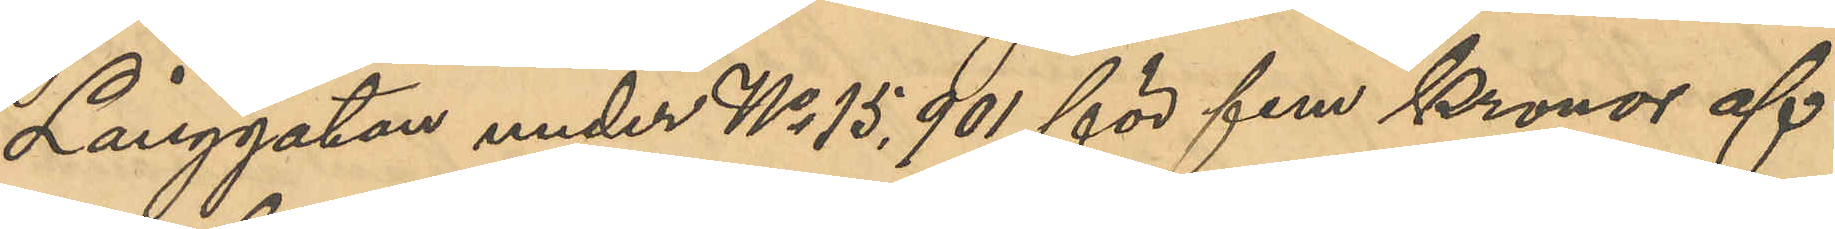Långgatan under No 15,901 för fem Kronor af
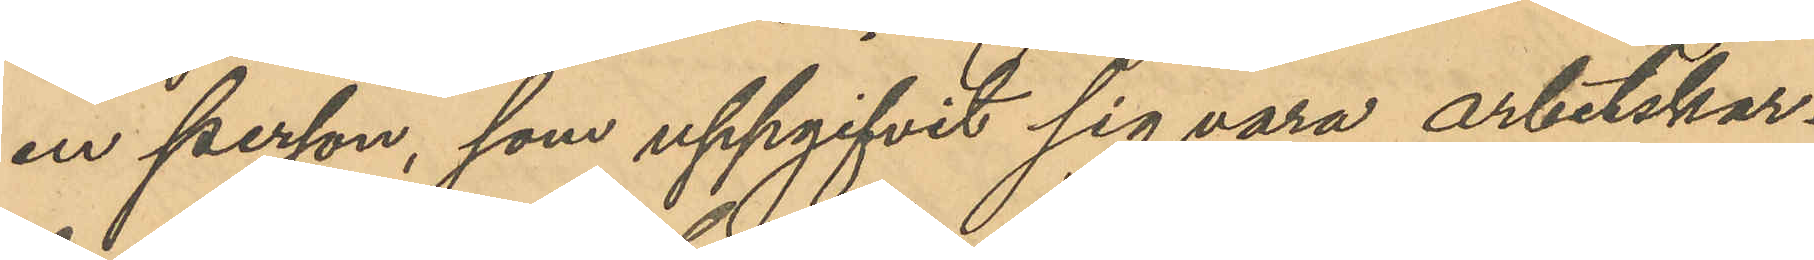en person, som uppgifvit sig vara arbetskar¬
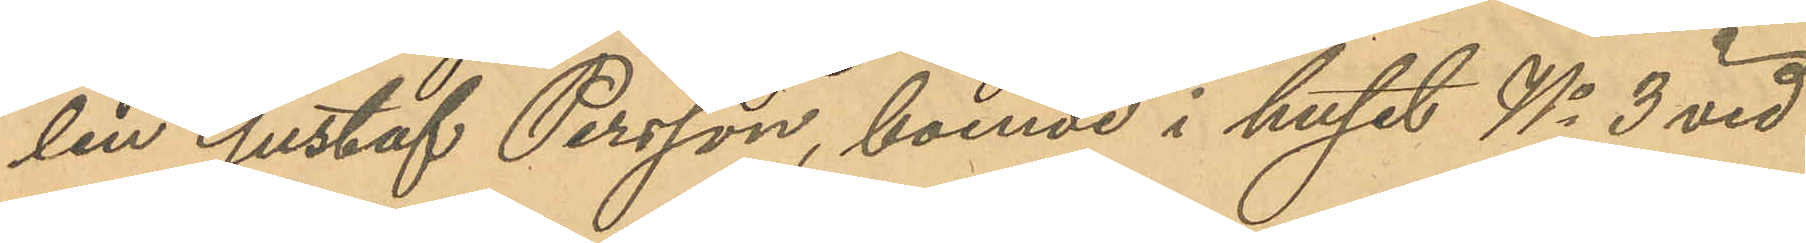len Gustaf Persson, boende i huset No 3 vid
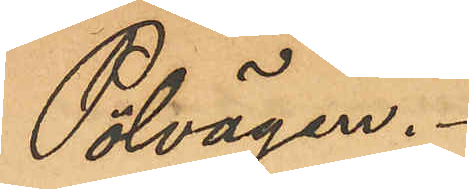Pölvägen.
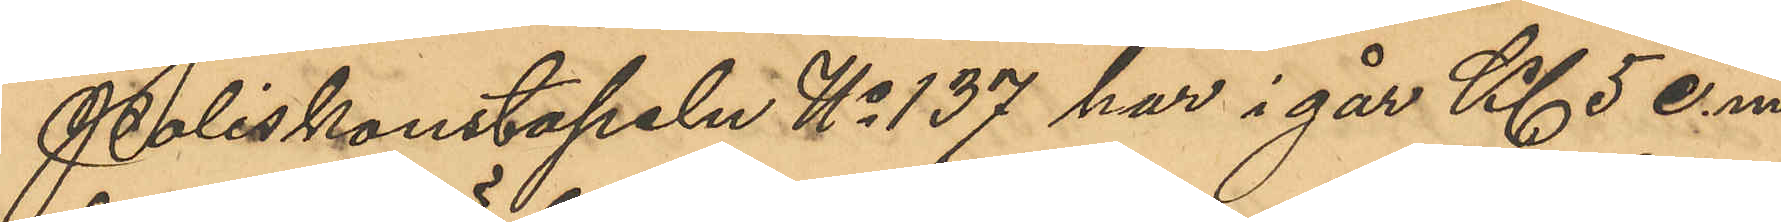Poliskonstapeln No 137 har i går Kl 5 e. m.
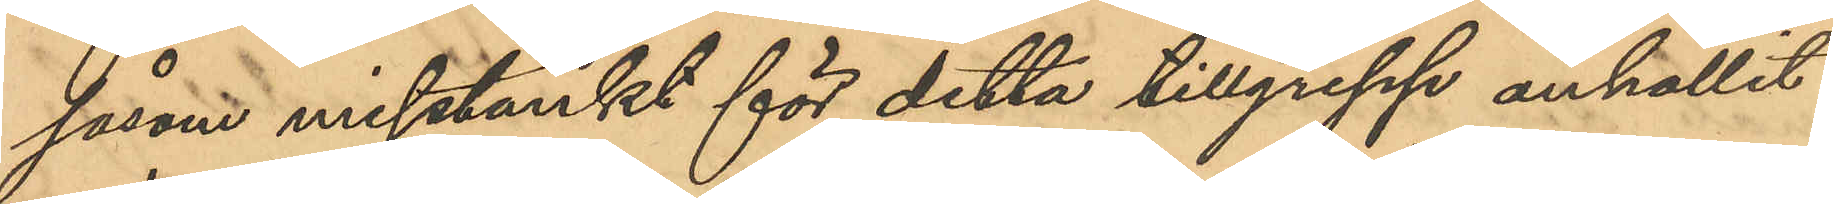såsom misstänkt för detta tillgrepp anhållit
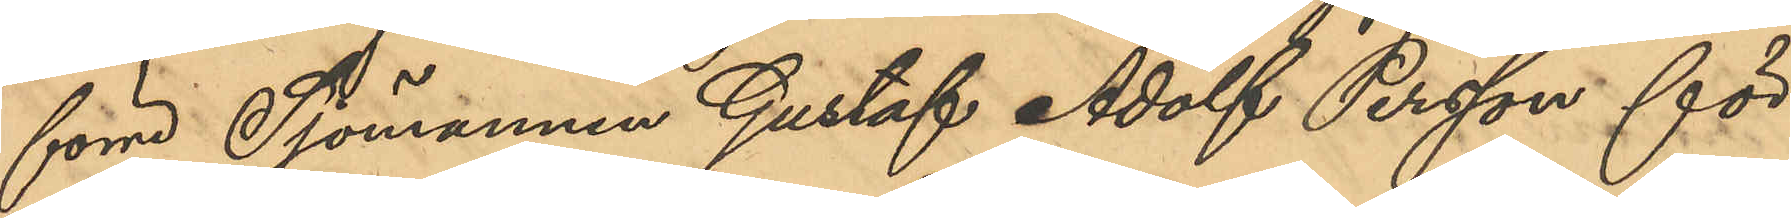förre Sjömannen Gustaf Adolf Persson för
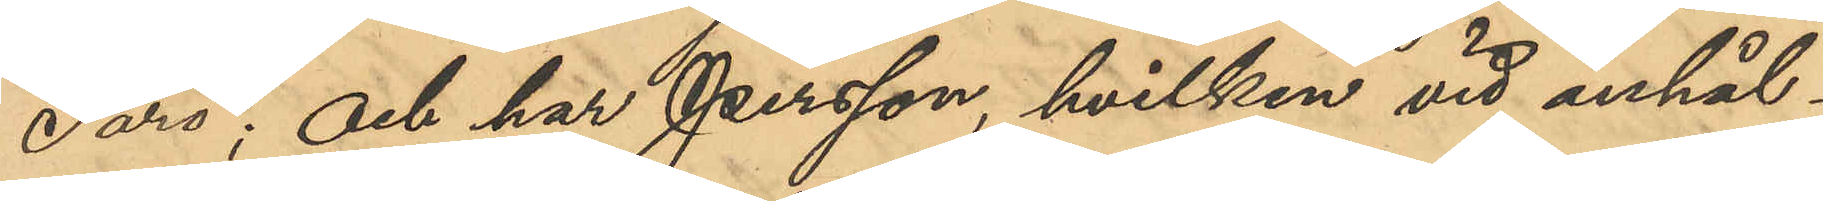Särö; och har Persson, hvilken vid anhål¬
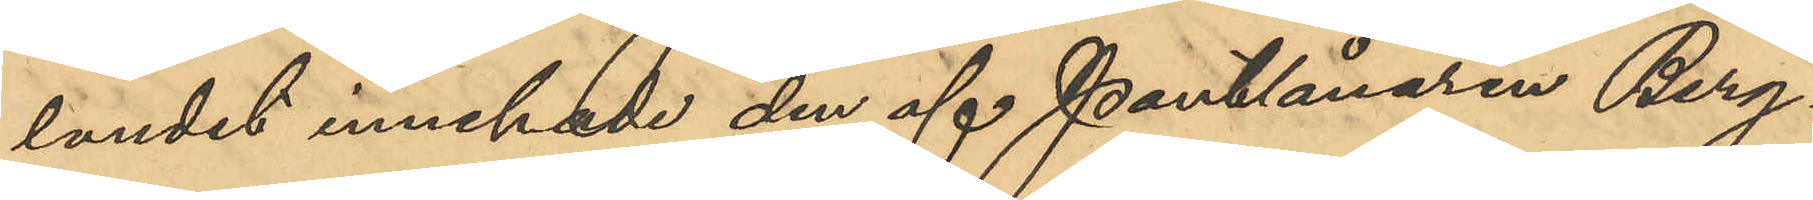landet innehade den af Pantlånaren Berg¬
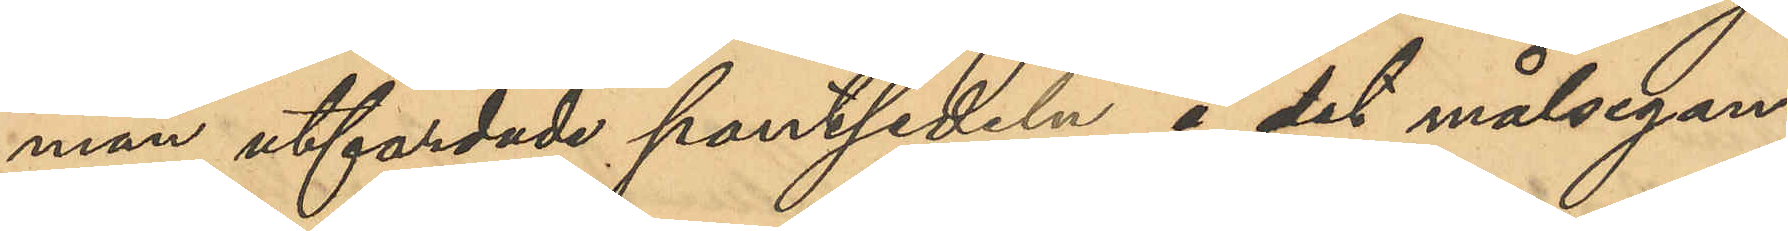man utfärdade pantsedeln å det målsegan¬
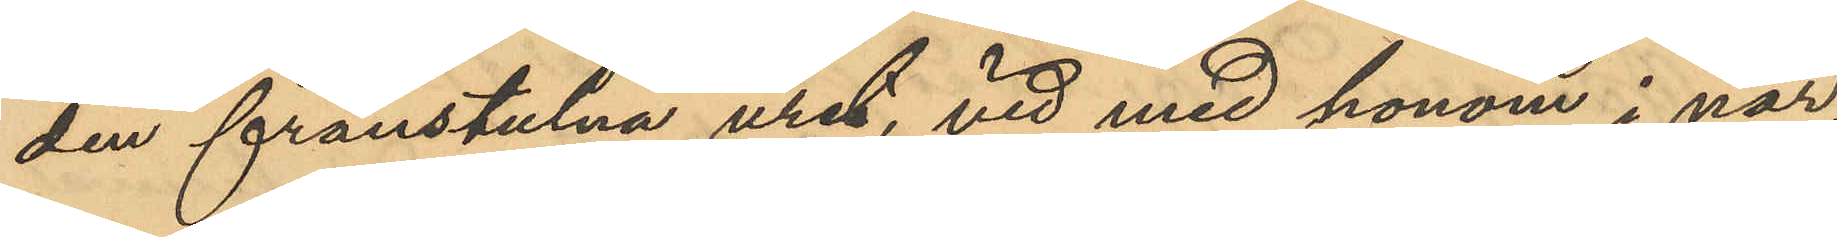den frånstulna uret, vid med honom i när¬
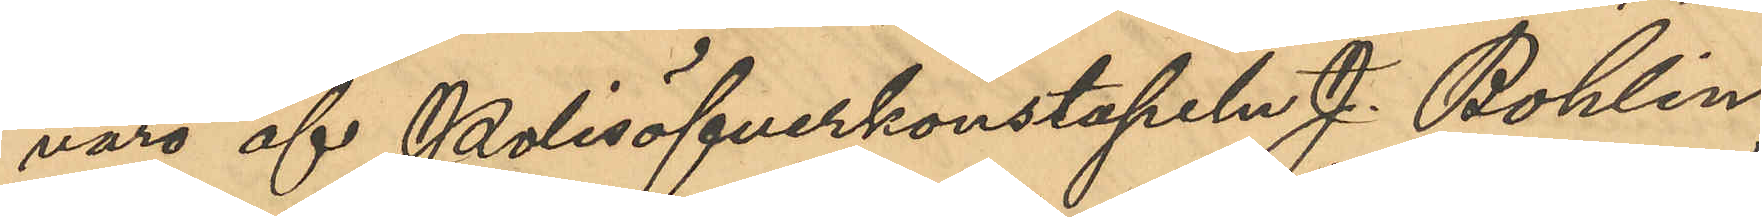varo af Polisöfverkonstapeln J. Bohlin
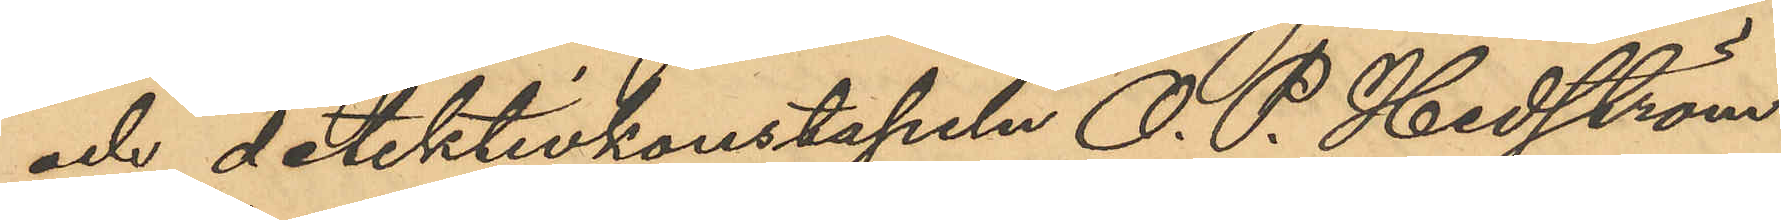och detektivkonstapeln O. P. Hedström
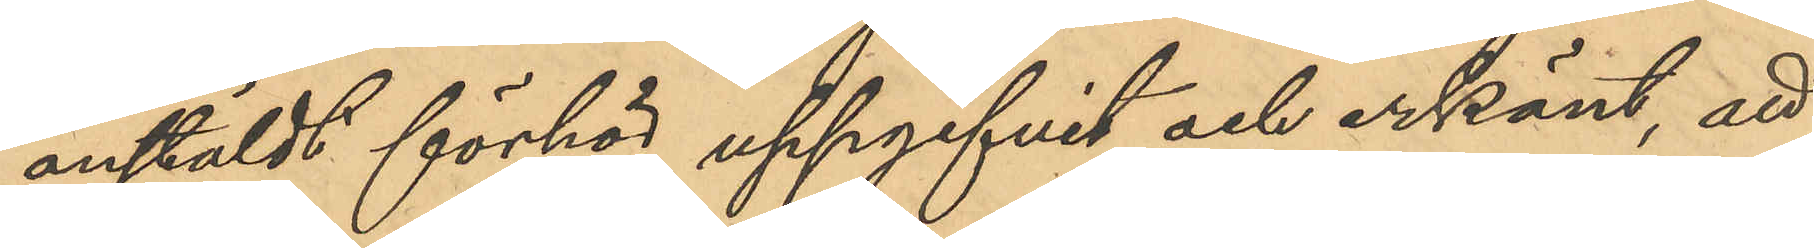anstäldt förhör uppgifvit och erkänt, att
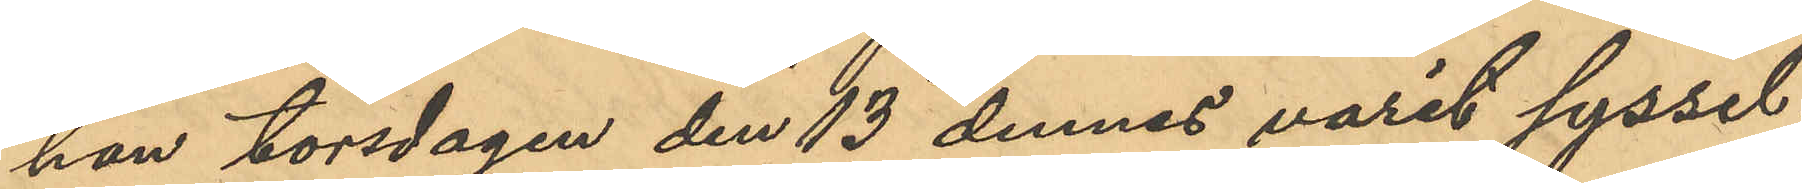han torsdagen den 13 dennes varit syssel¬
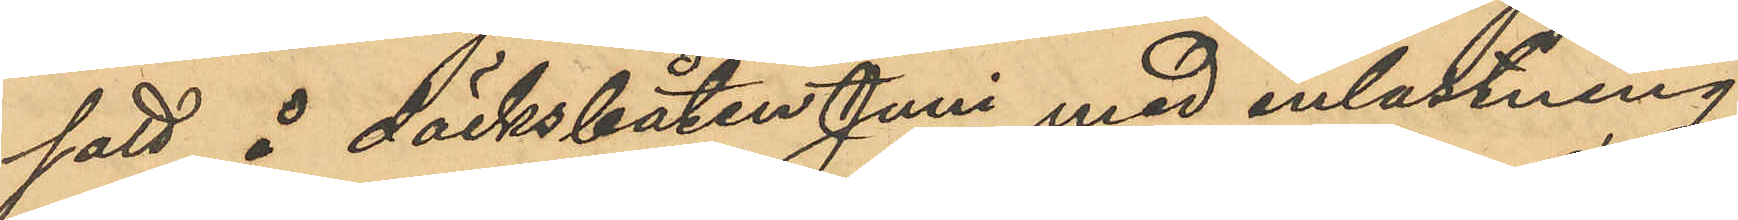satt å däcksbåten Juni med inlastning
